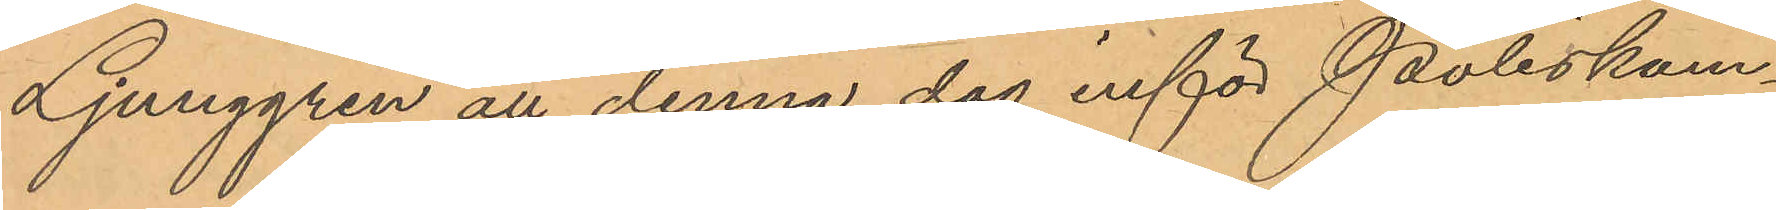Ljunggren att denna dag inför Poliskam¬
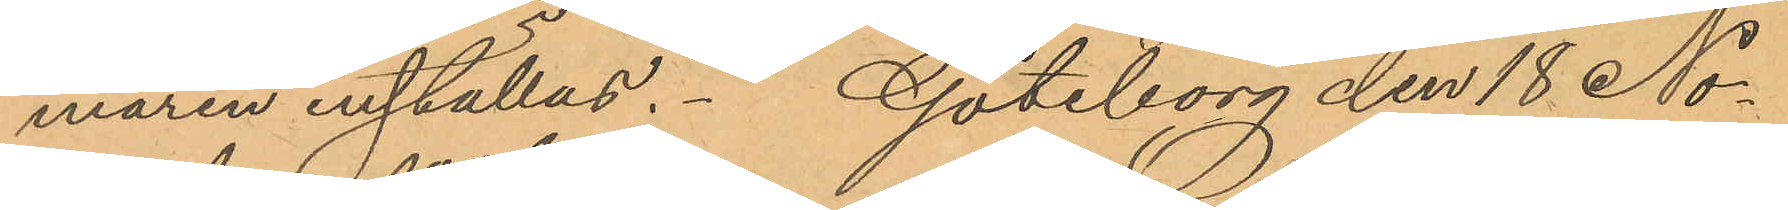maren inställas. Göteborg den 18 No¬
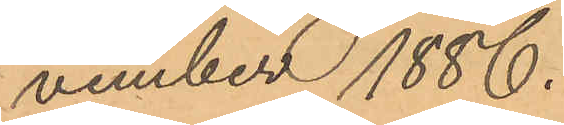vember 1886.
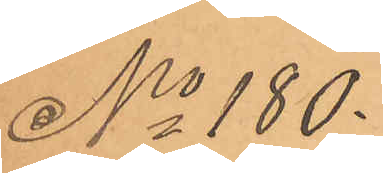No 180.
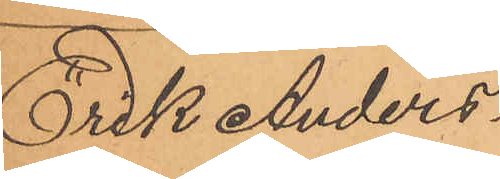Erik Anders¬
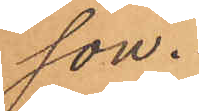son.
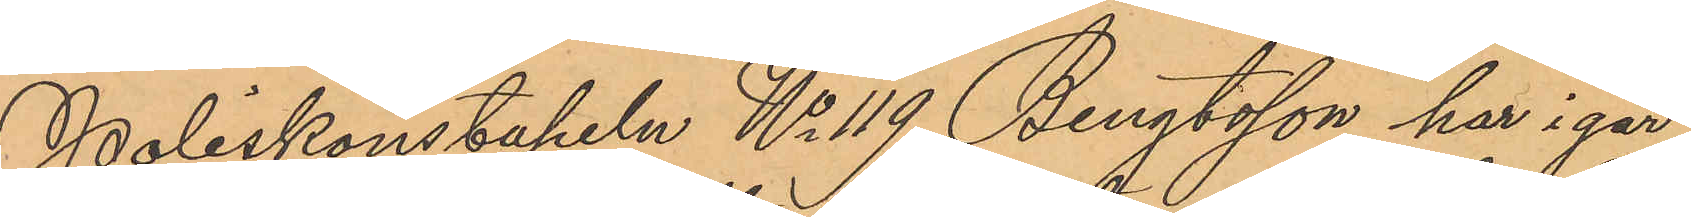Poliskonstapeln No 119 Bengtsson har i går
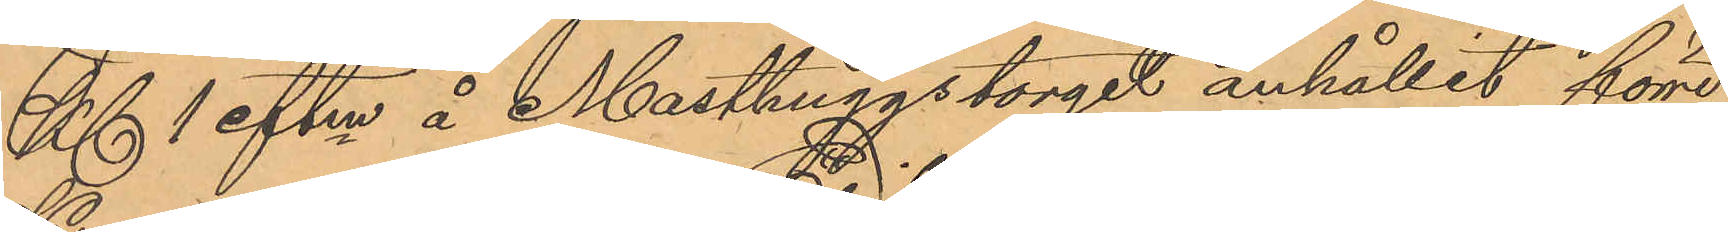Kl. 1 eftm å Masthuggstorget anhållit förre
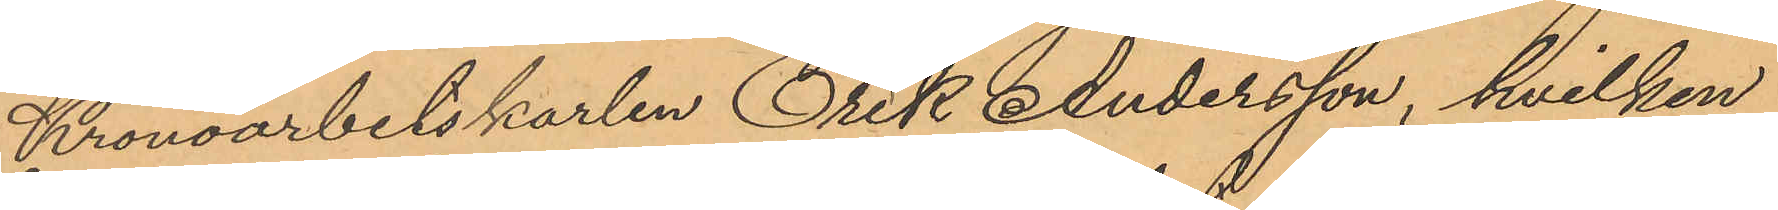Kronoarbetskarlen Erik Andersson, hvilken
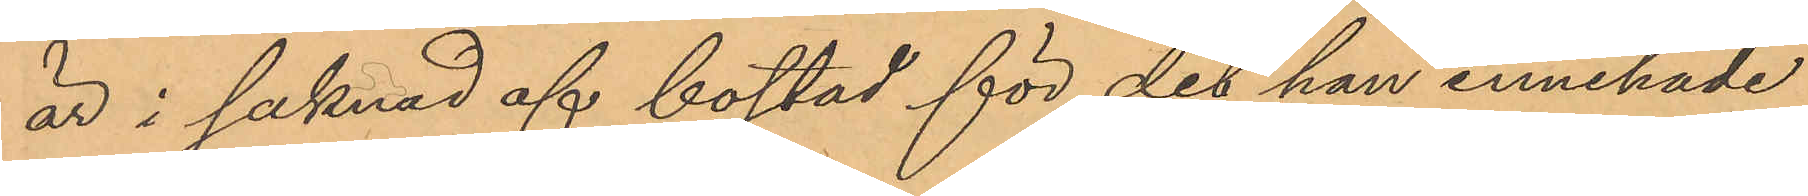är i saknad af bostad för det han innehade
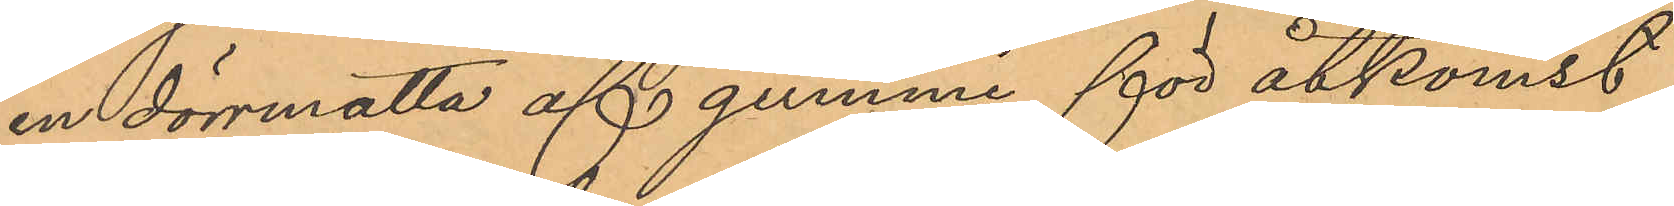en dörrmatta af gummi, för åtkomst
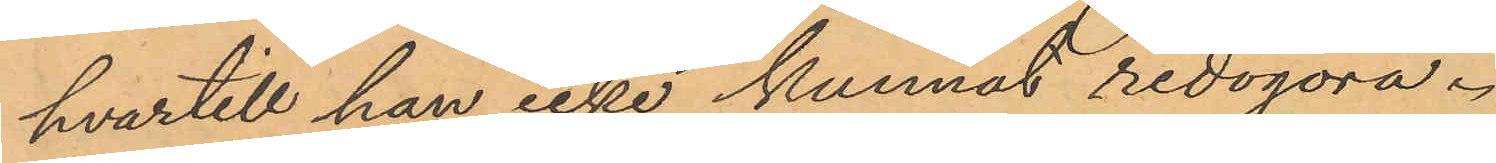hvartill han icke kunnat redogöra.
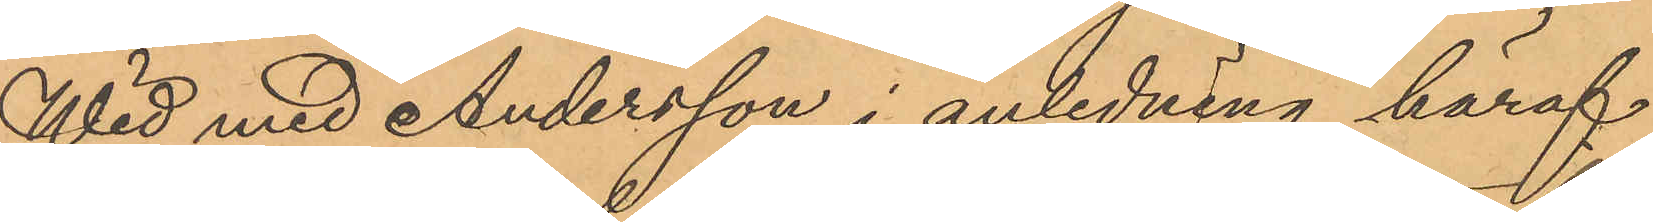Wid med Andersson i anledning häraf
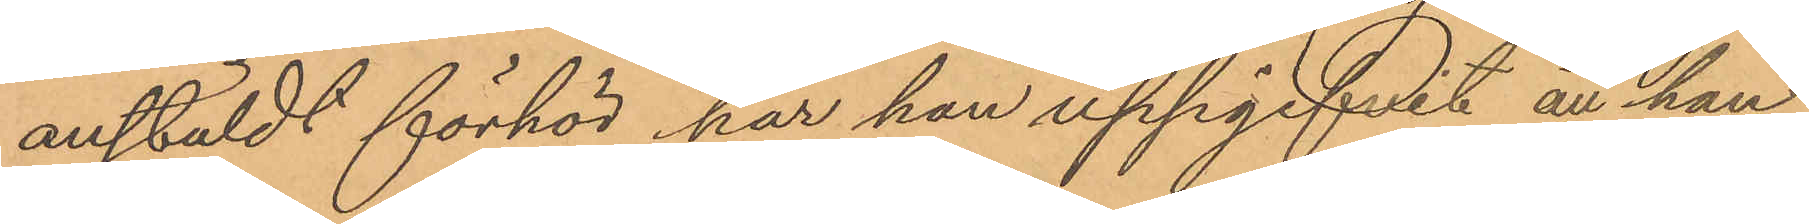anstäldt förhör har han uppgifvit att han
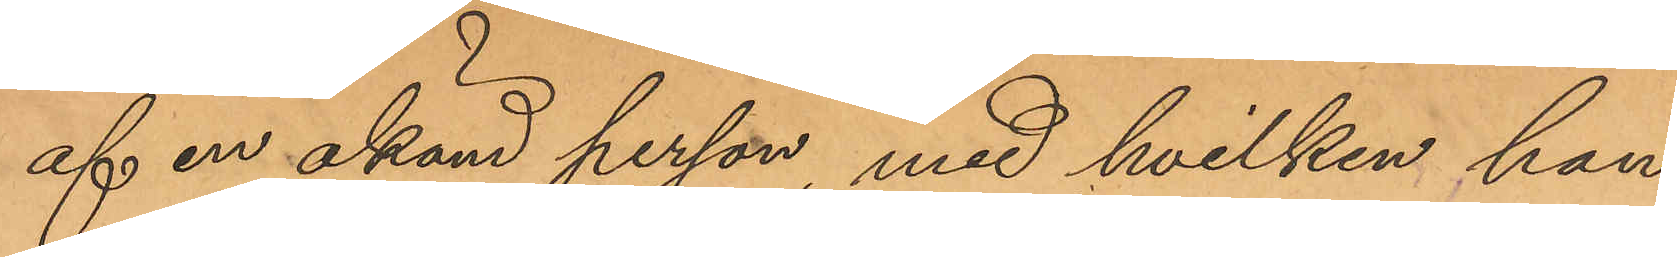af en okänd person, med hvilken han
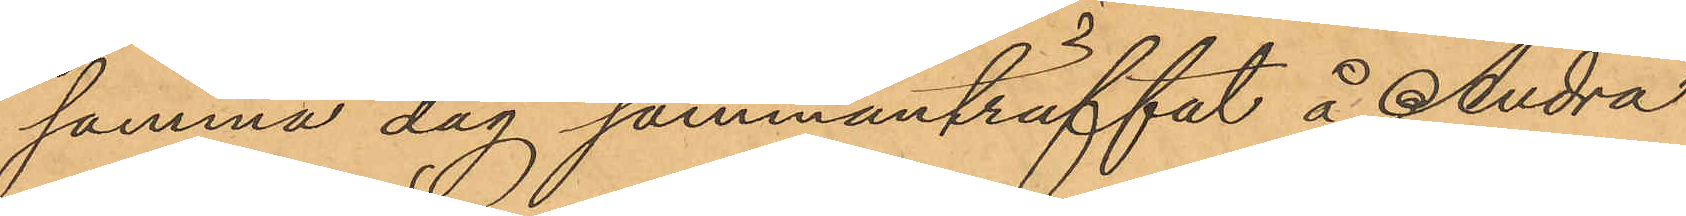samma dag sammanträffat å Andra
